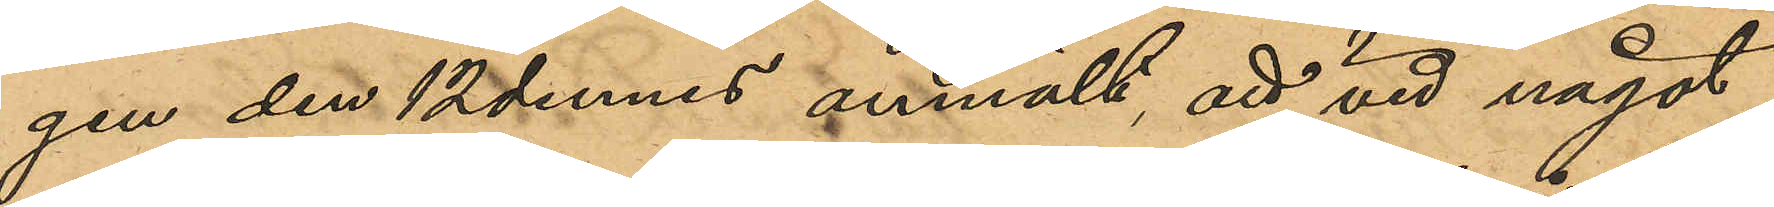gen den 12 dennes anmält att vid något
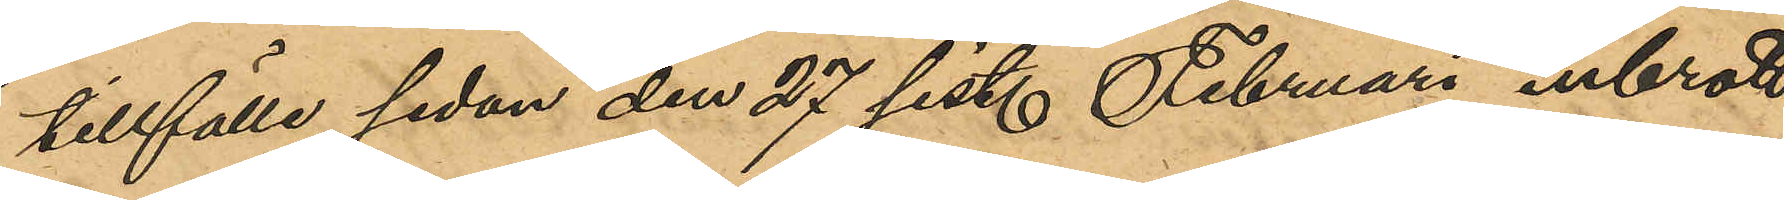tillfälle sedan den 27 sist. Februari inbrott
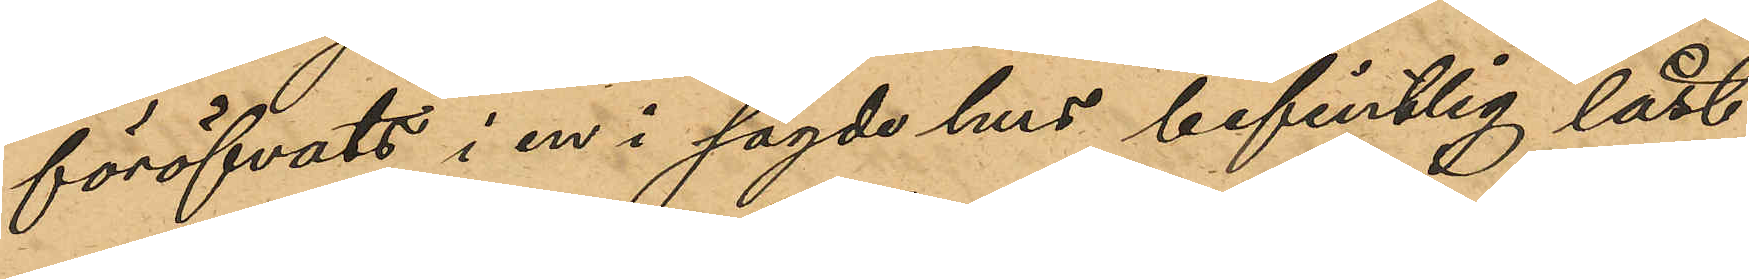föröfvats i en i sagde hus befintlig låst
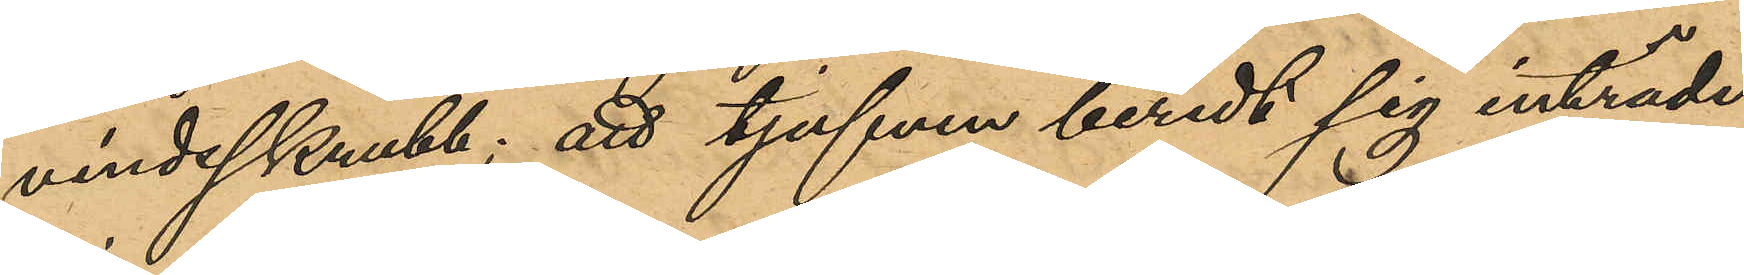vindsskrubb; att tjufven beredt sig inträde
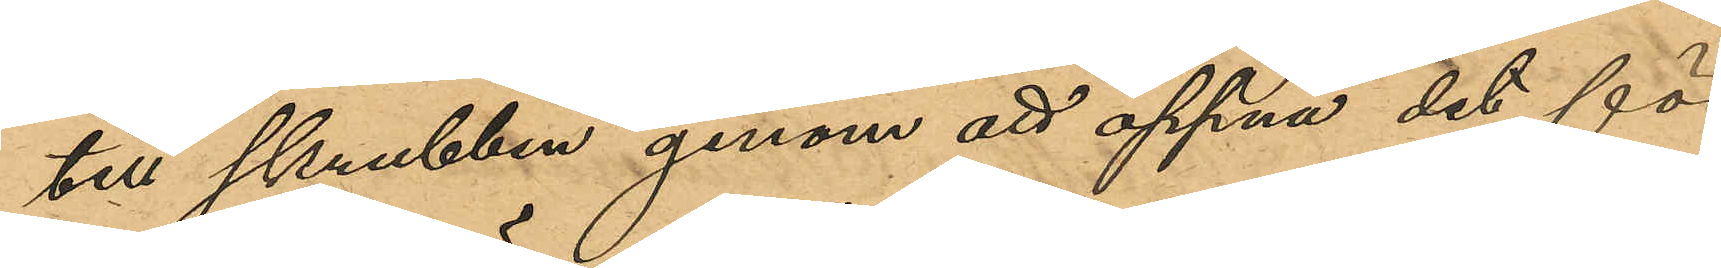till skrubben genom att öppna det för
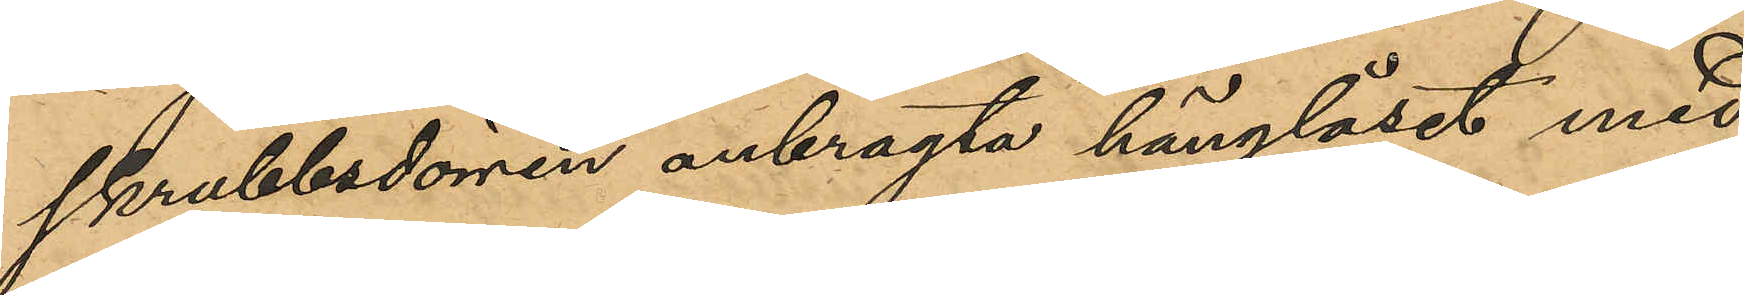skrubbdörren anbragta hänglåset med
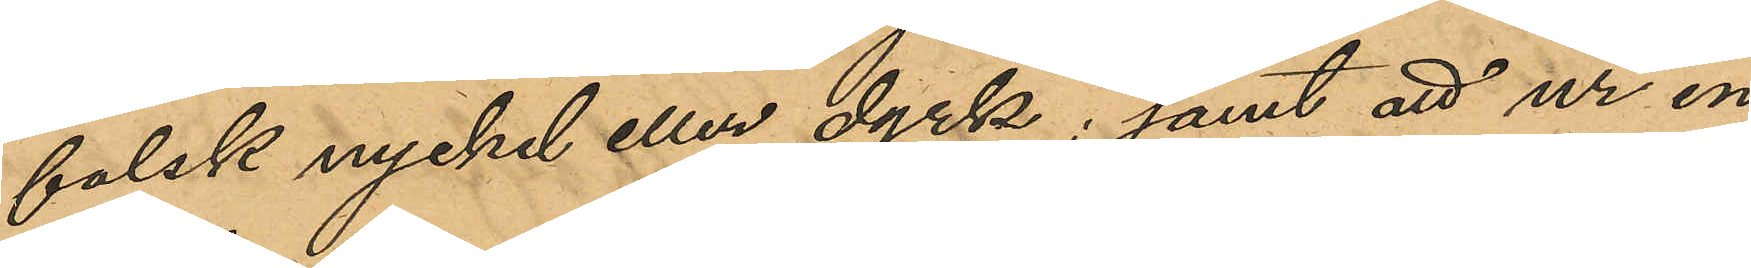falsk nyckel eller dyrk; samt att ur en
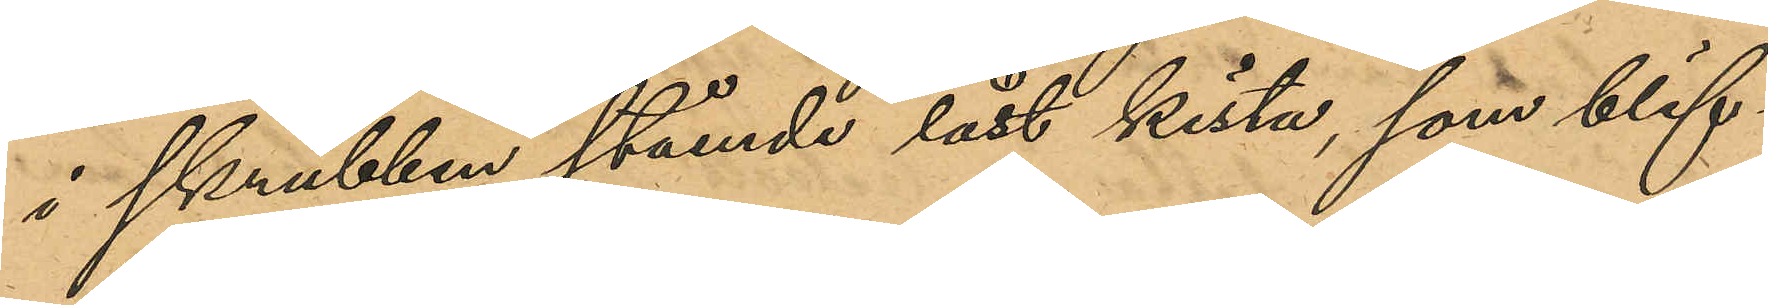i skrubben stående låst kista, som blif¬
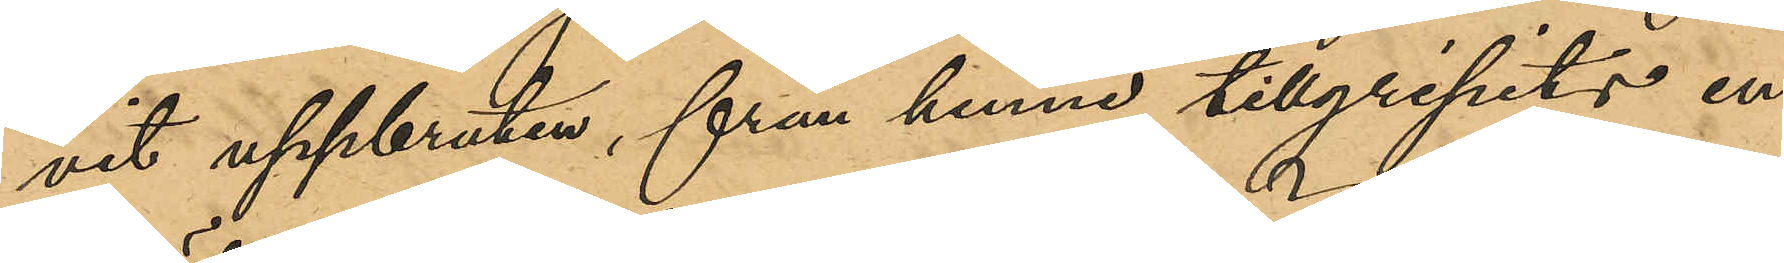vit uppbruten, från henne tillgripits en
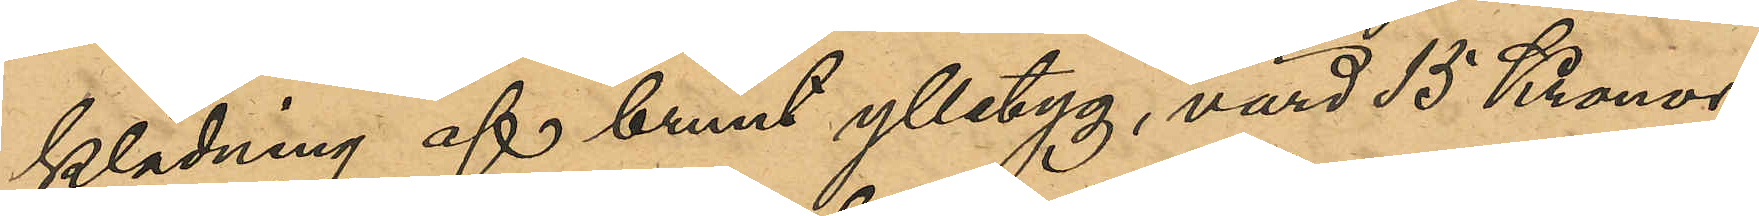klädning af brunt ylletyg, värd 15 Kronor,
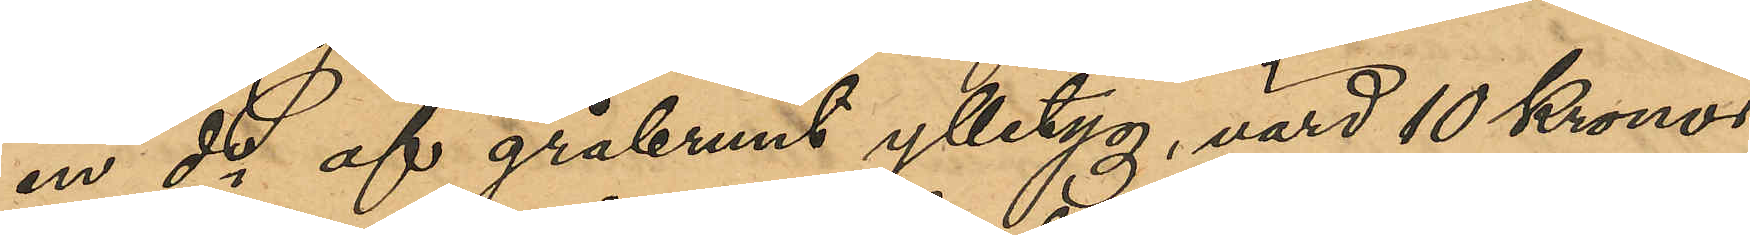en do af gråbrunt ylletyg, värd 10 Kronor,
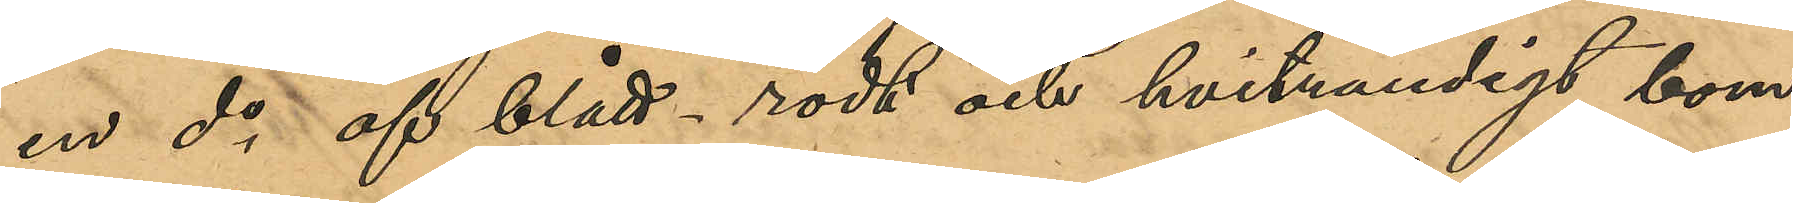en do af blått-rödt och hvitrutigt bom¬
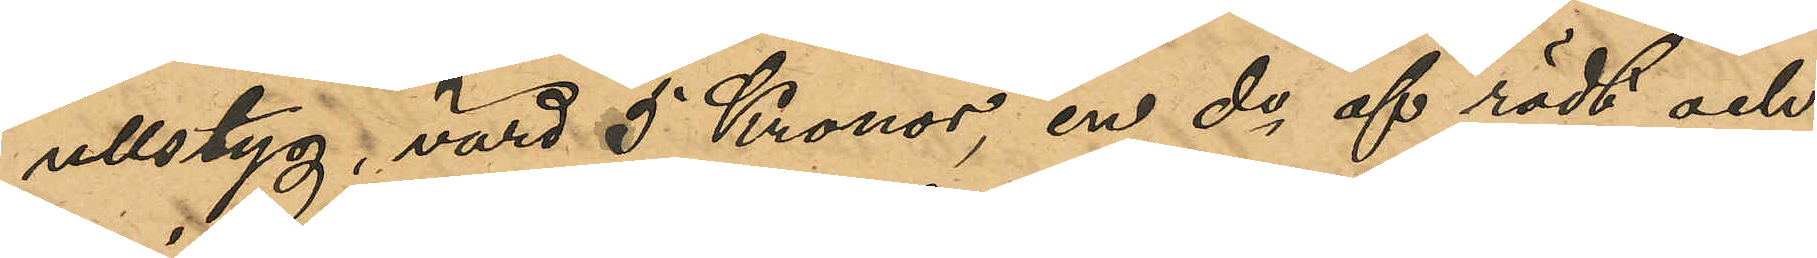ullstyg, värd 5 Kronor, en do af rödt och
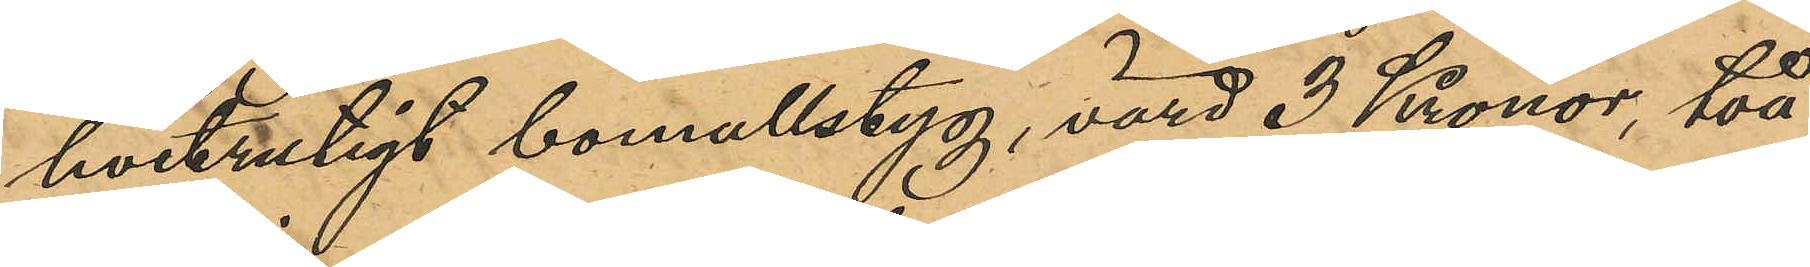hvitrutigt bomullstyg, värd 3 Kronor, två
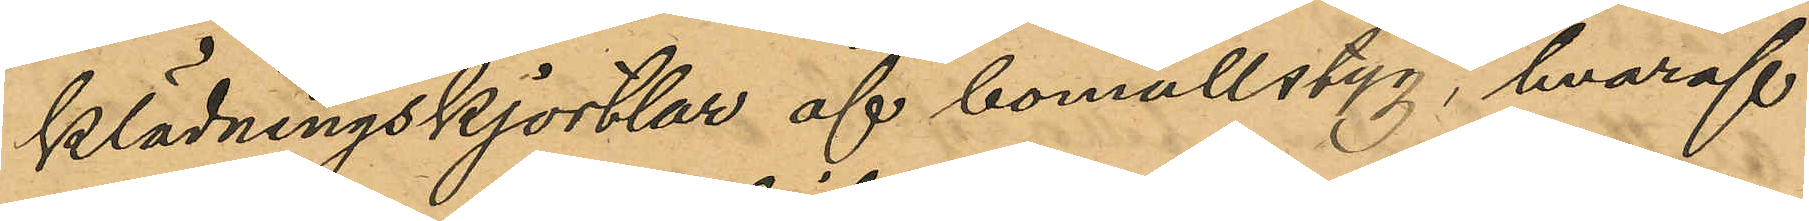klädningskjortlar af bomullstyg, hvaraf
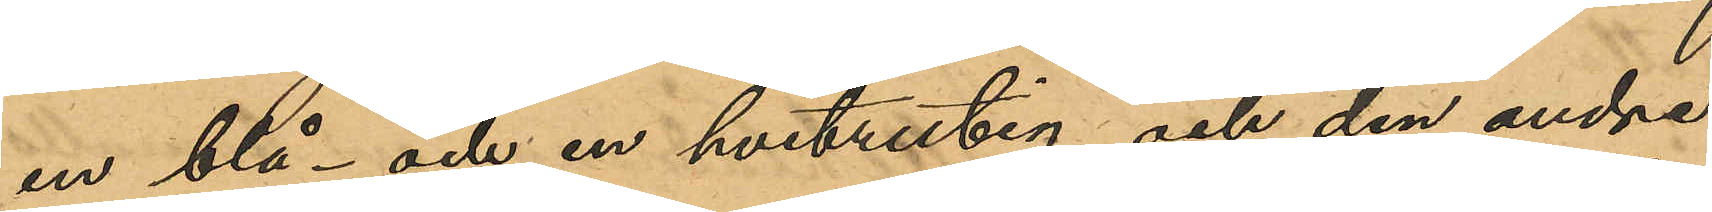en blå- och en hvitrutig och den andra
